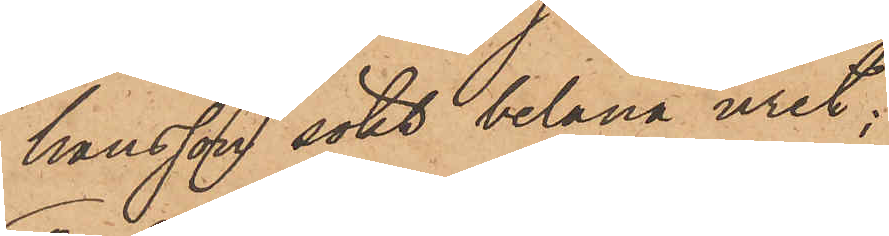hansson sökt belåna uret;
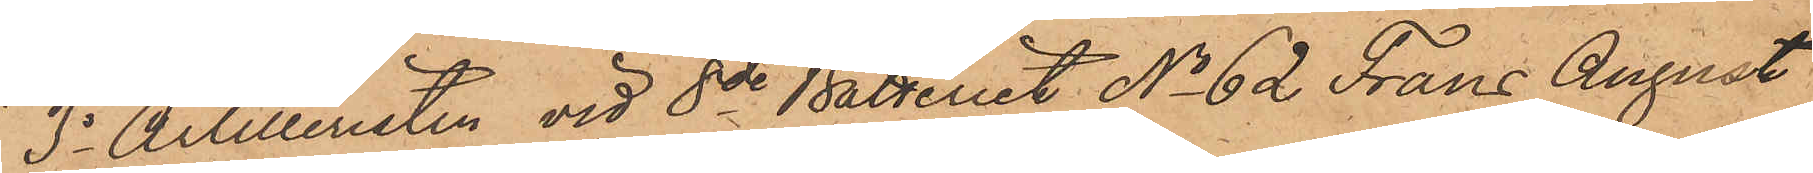3o Artilleristen vid 8de Batteriet No 62 Frans August
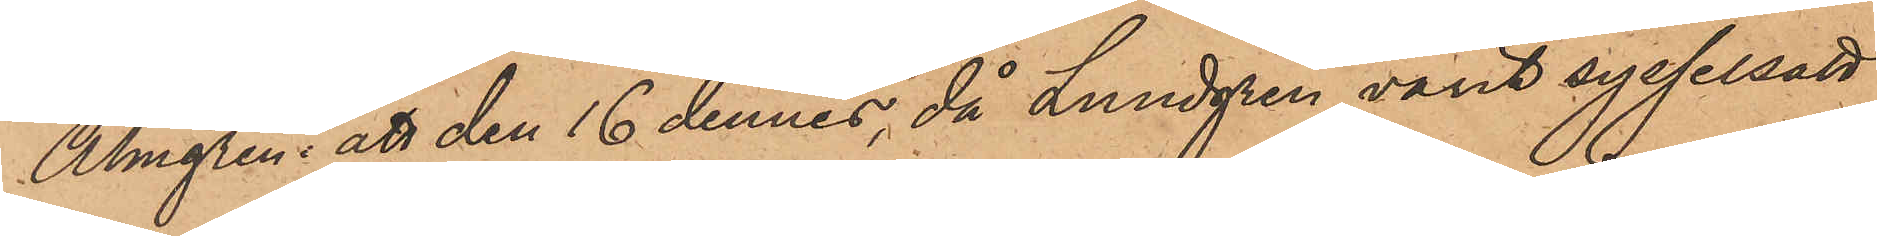Almgren, att den 16 dennes, då Lundgren varit sysselsatt
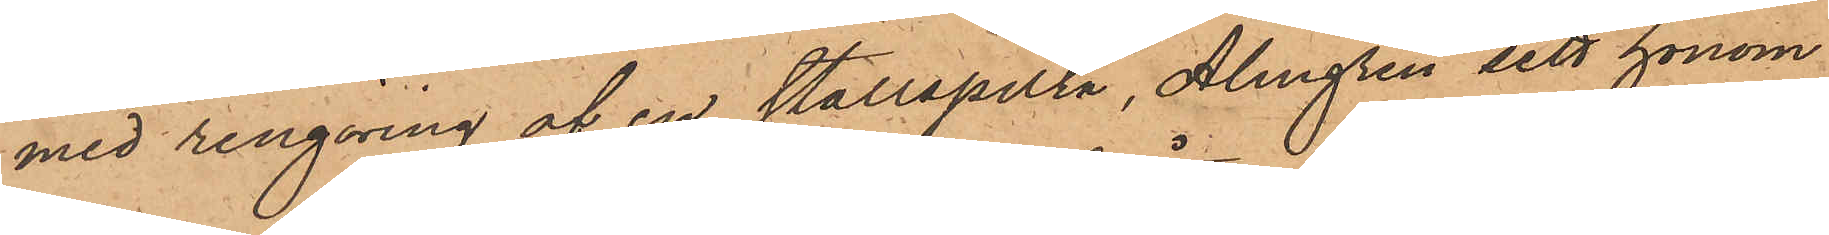med rengöring af en stallspilta, Almgren sett honom
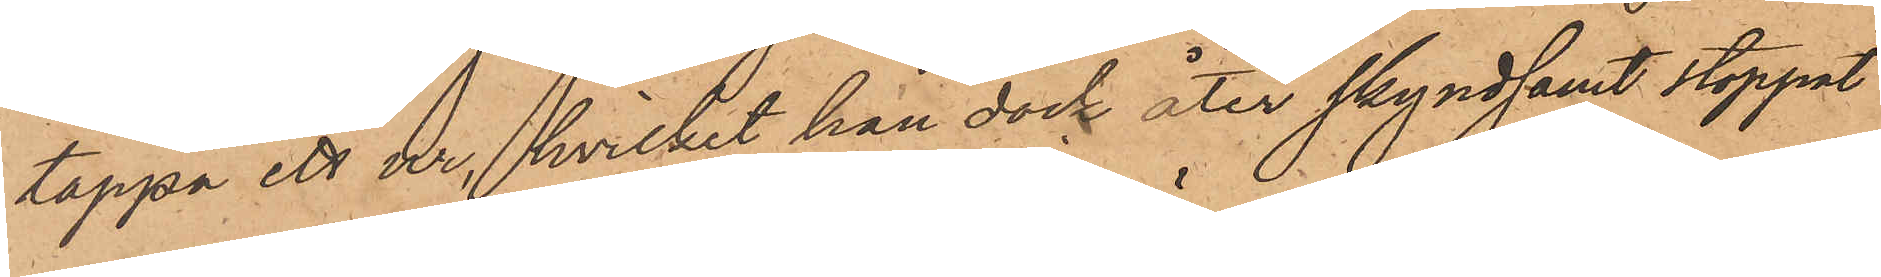tappa ett ur, hvilket han dock åter skyndsamt stoppat
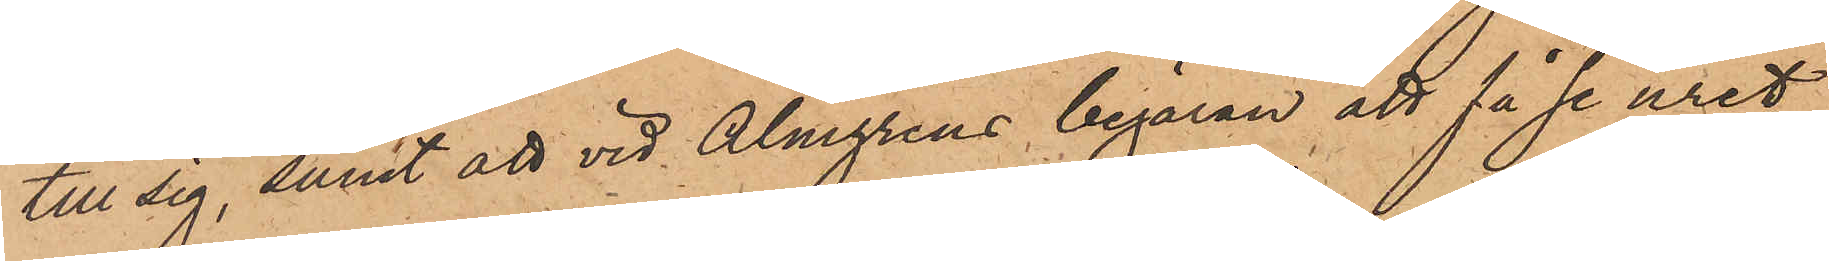till sig, samt att vid Almgrens begäran att få se uret,
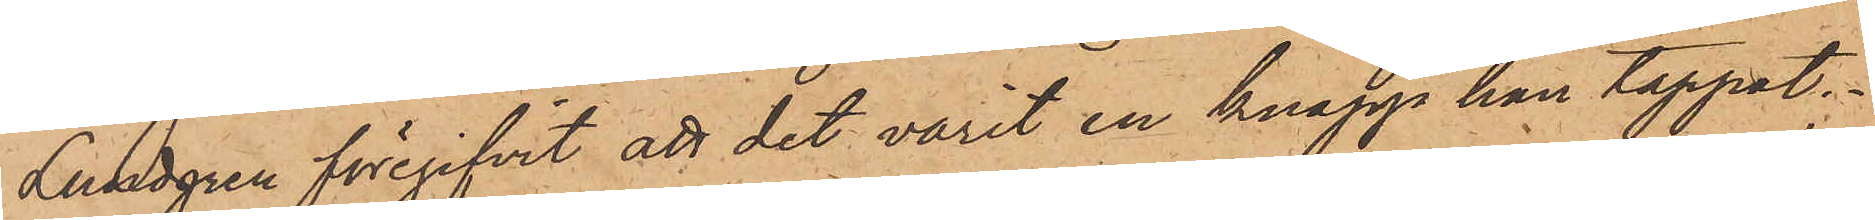Lundgren föregifvit att det varit en knapp han tappat;
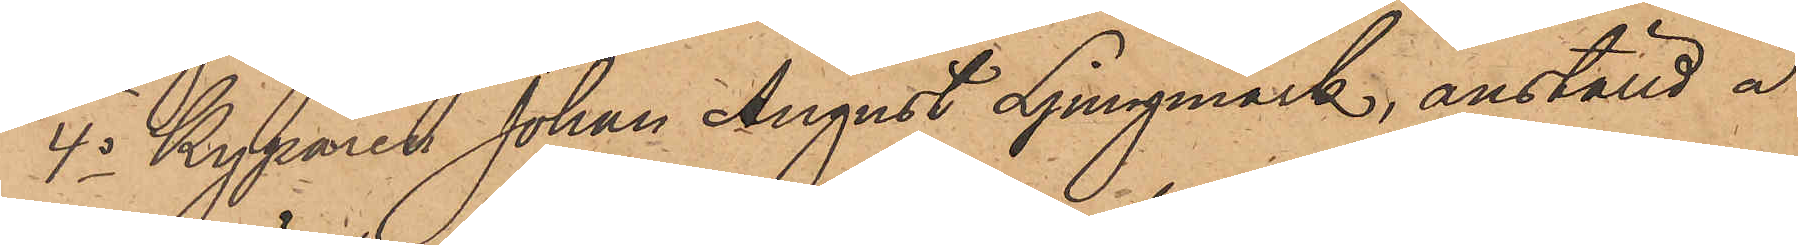4o Kyparen Johan August Ljungmark, anställd å
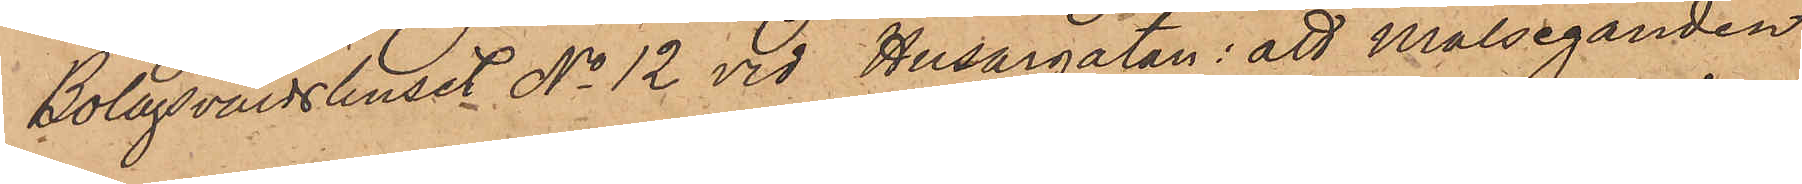Bolagsvärdshuset No 12 vid Husargatan: att Målseganden
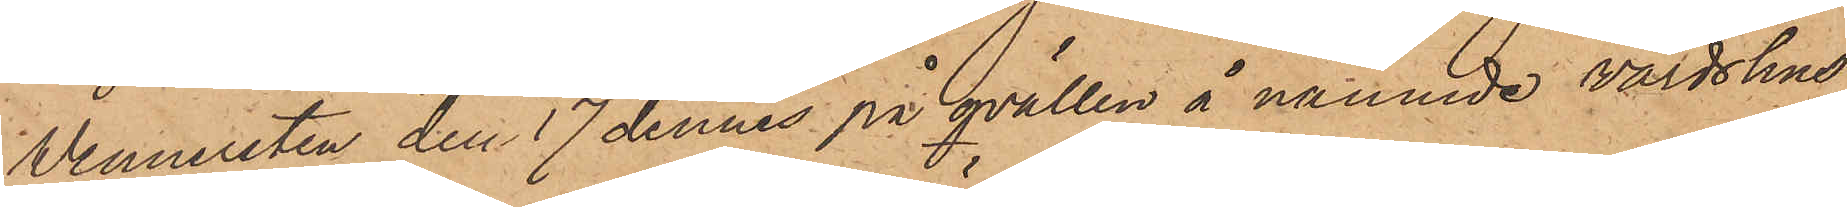Wennersten den 17 dennes på qvällen å nämnde värdshus
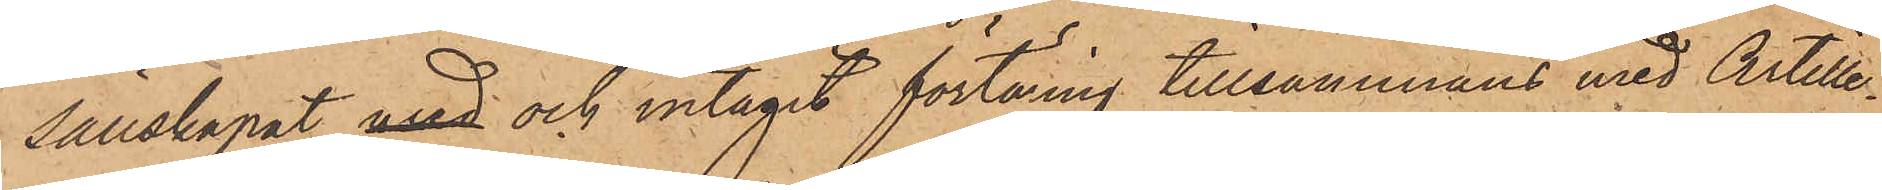sällskapat med och intagit förtäring tillsammans med Artille¬
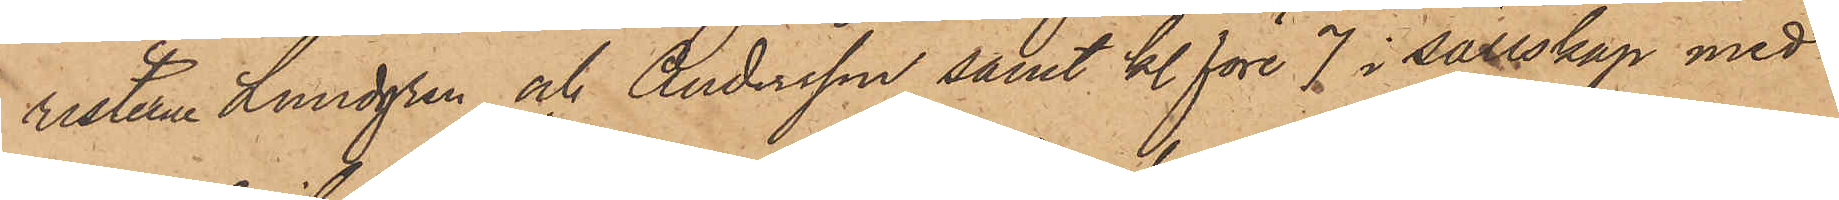risterna Lundgren och Andersson samt kl. före 7 i sällskap med
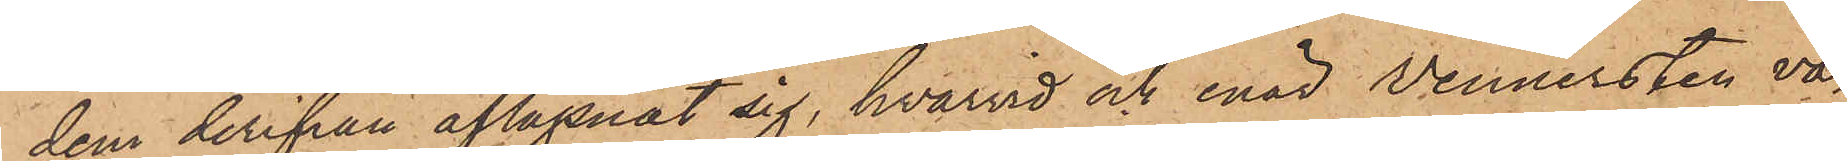dem derifrån aflägsnat sig, hvarvid och enär Wennersten va¬
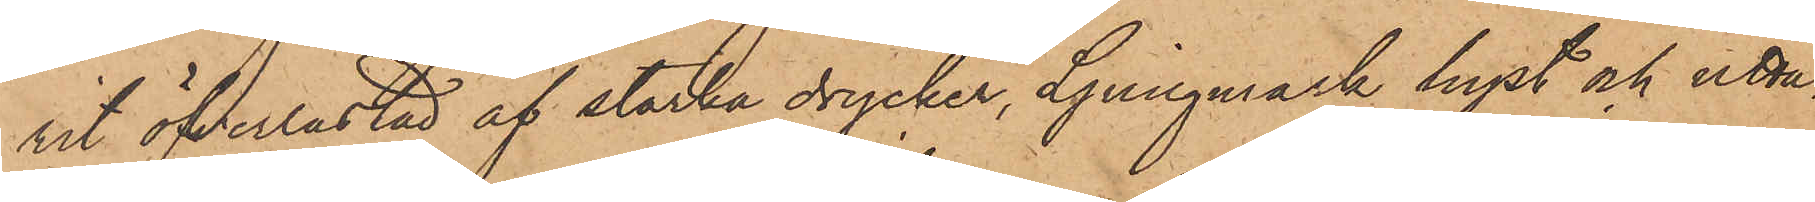rit öfverlastad af starka drycker, Ljungmark hyst och utta¬
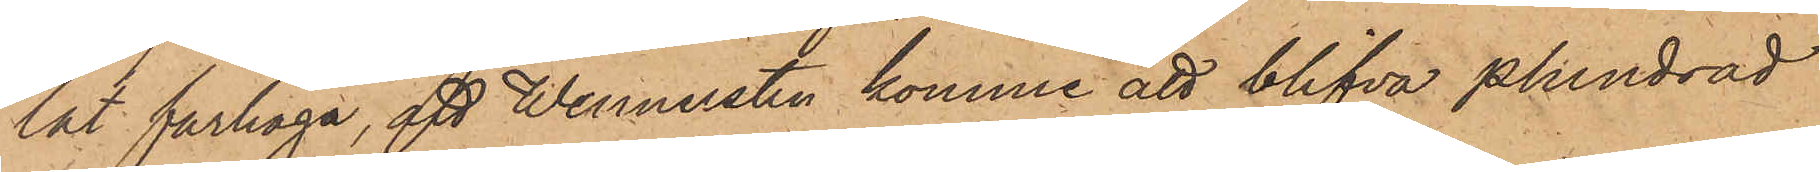lat farhåga, att Wennersten komme att blifva plundrad
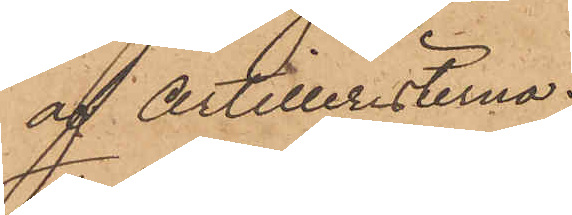af Artilleristerna.
